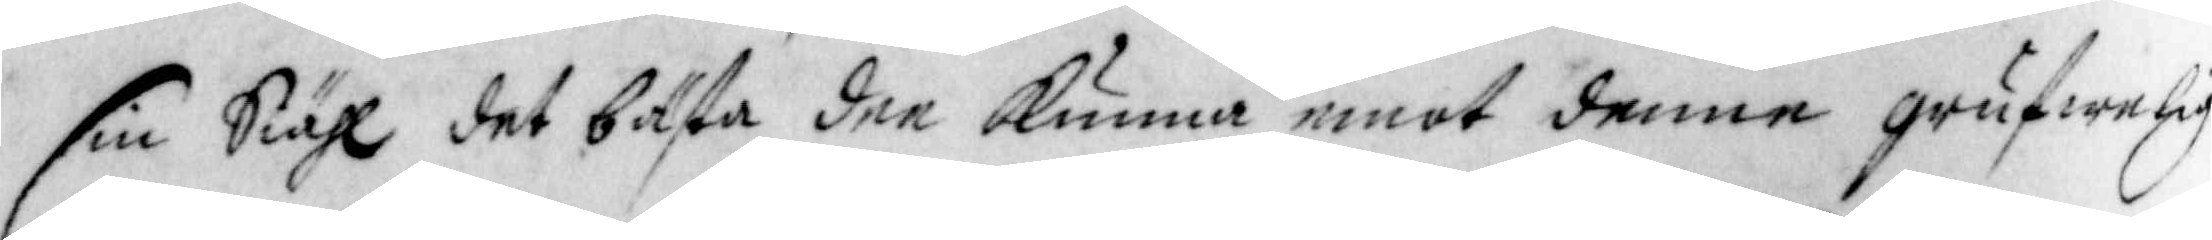sin Siähl det bästa dee kunna emot denne grufwelige
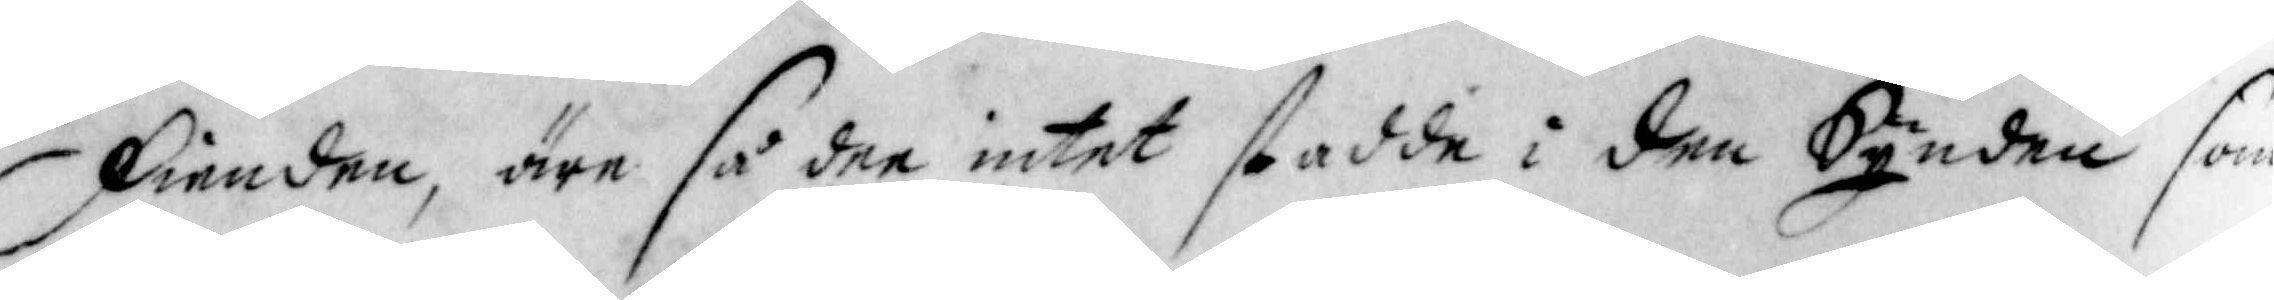Fienden, äre så dee intet stadde i den Synden som
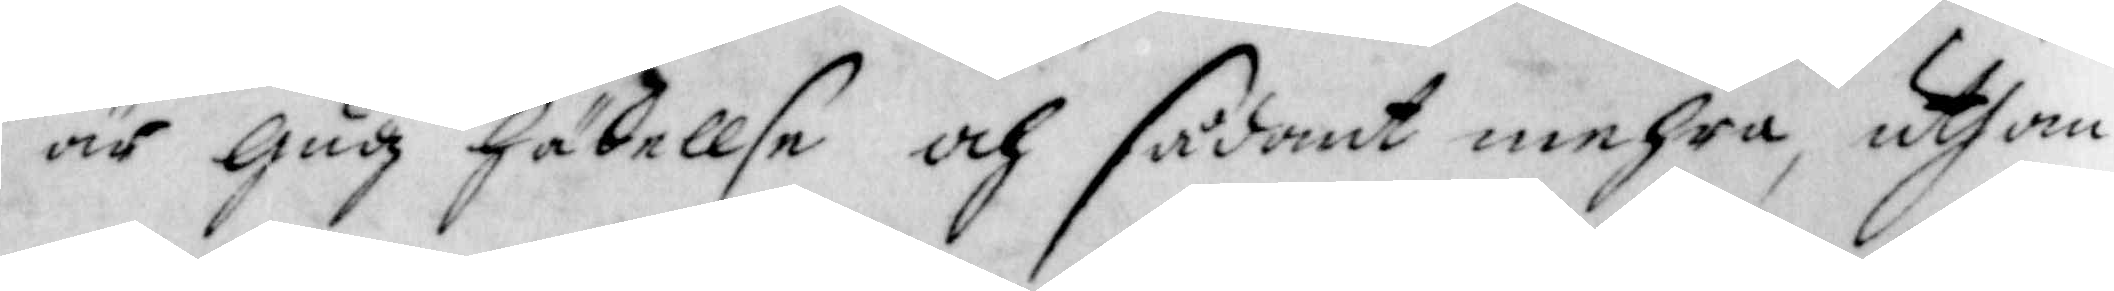är Gudz hädellse och sådant mehra, uthan
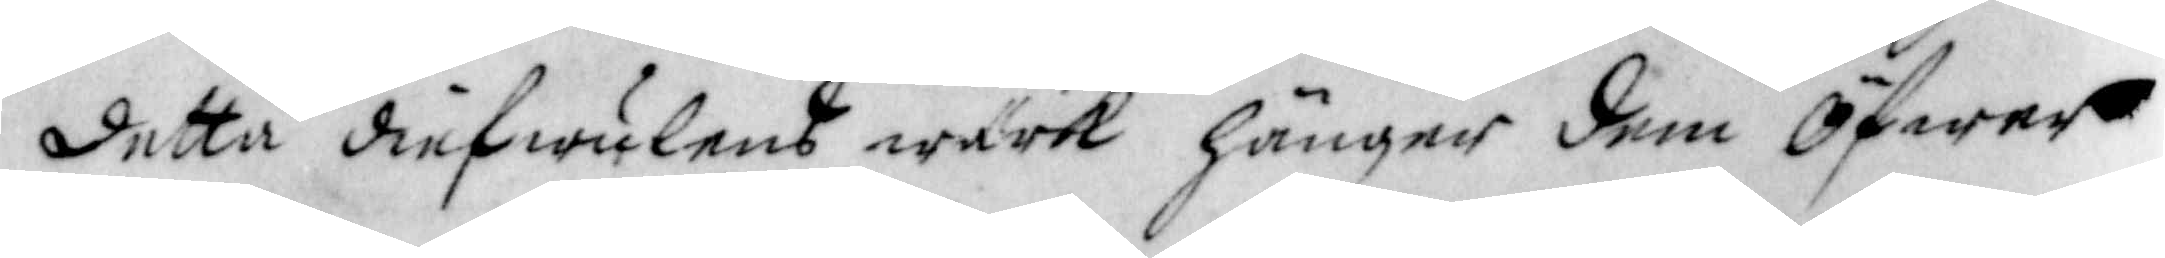detta diefwulens wärk hänger dem Öfwer
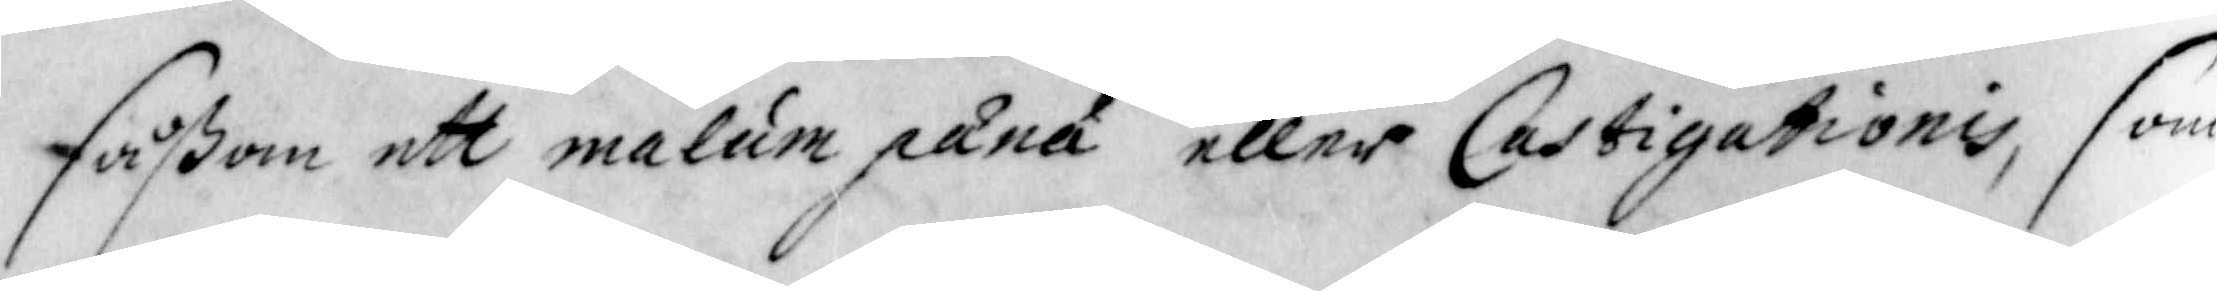såßom ett malum pana eller Castigationis, som
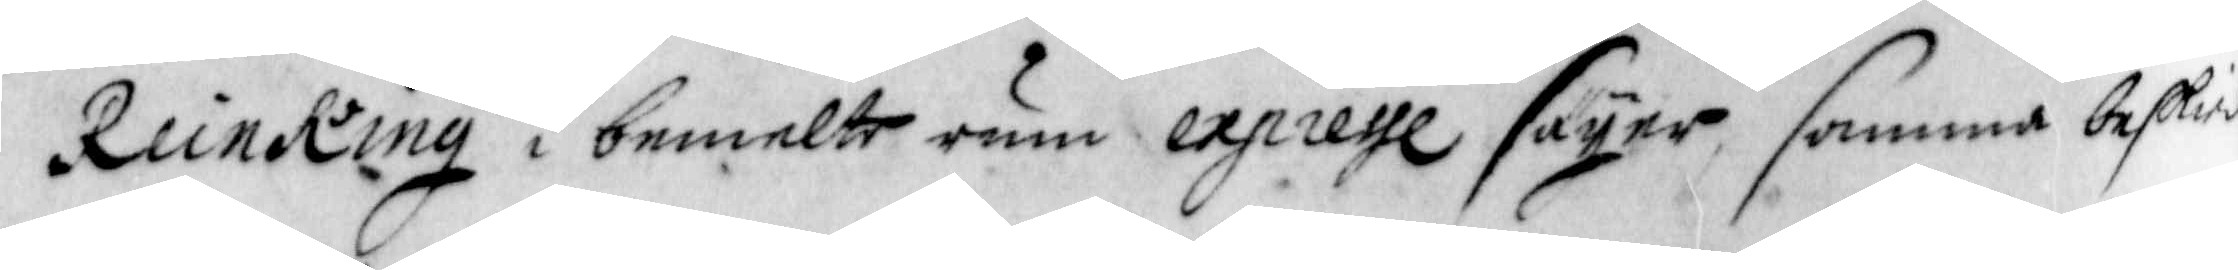ReinKing i bemelte rum expresse säyer, samma beskied
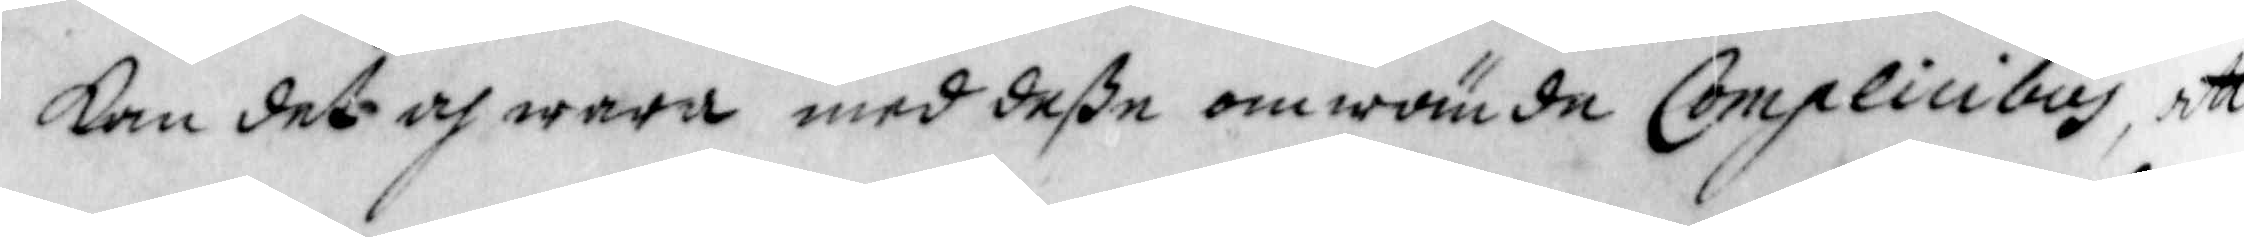kan det och wara med deße omwände Complicibus, att
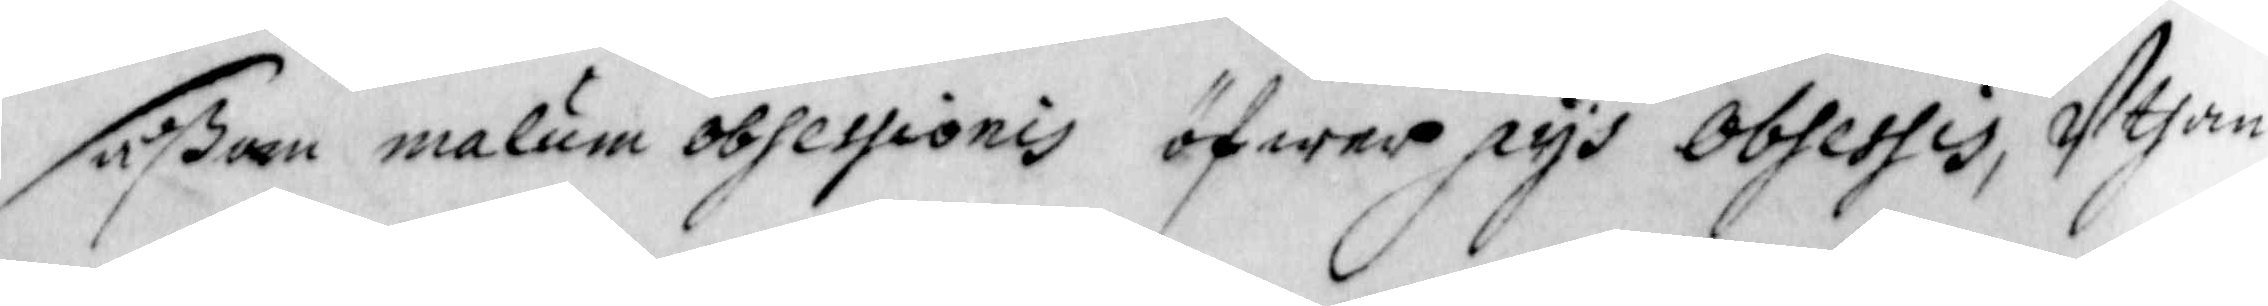såßom malum obsessionis öfwer pys obsessis Uthan
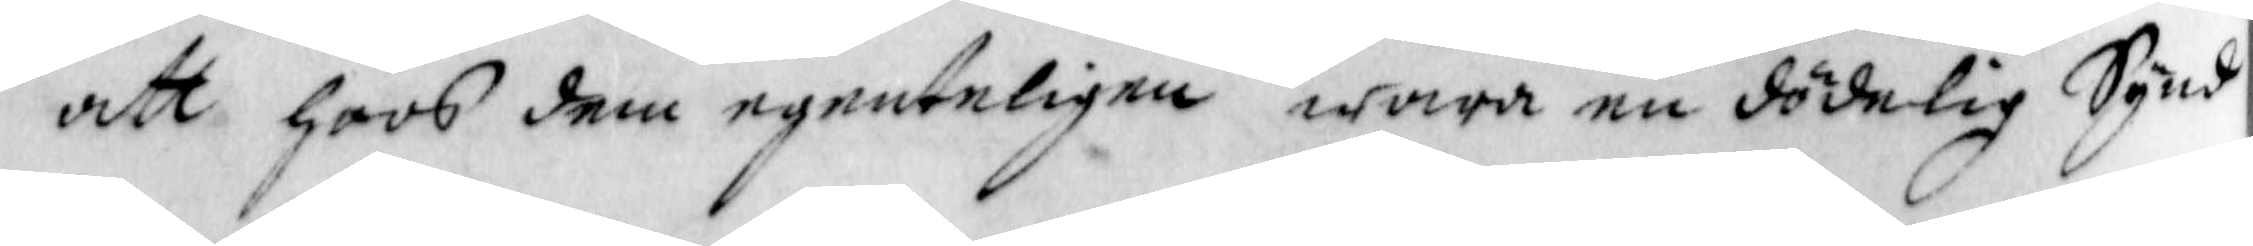att hoos dem egenteligen wara en dödelig Synd
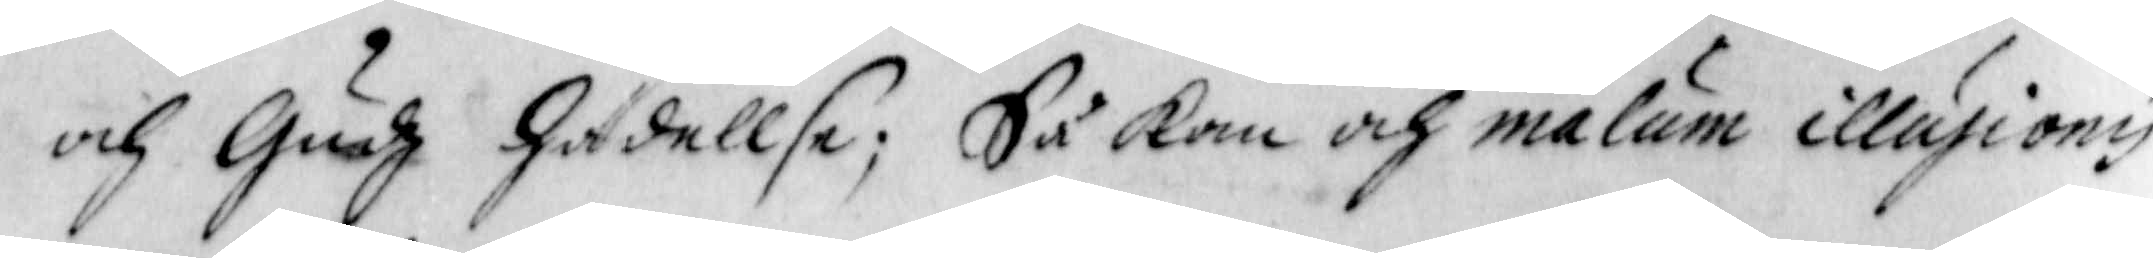och Gudz hädellse; Så kan och malum illusionis
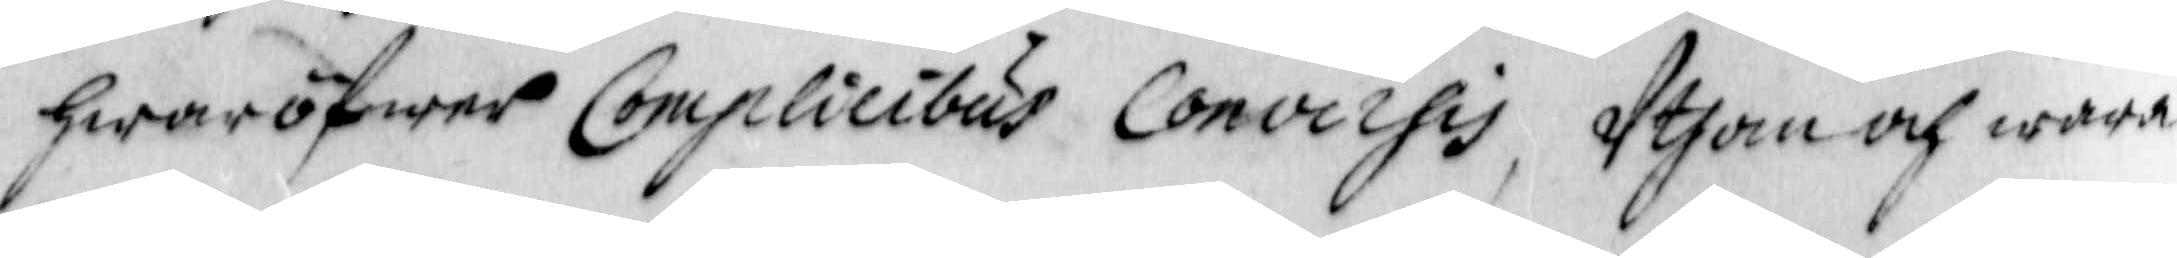hwaröfwer Complicibus Conoirsis, Uthan och wara
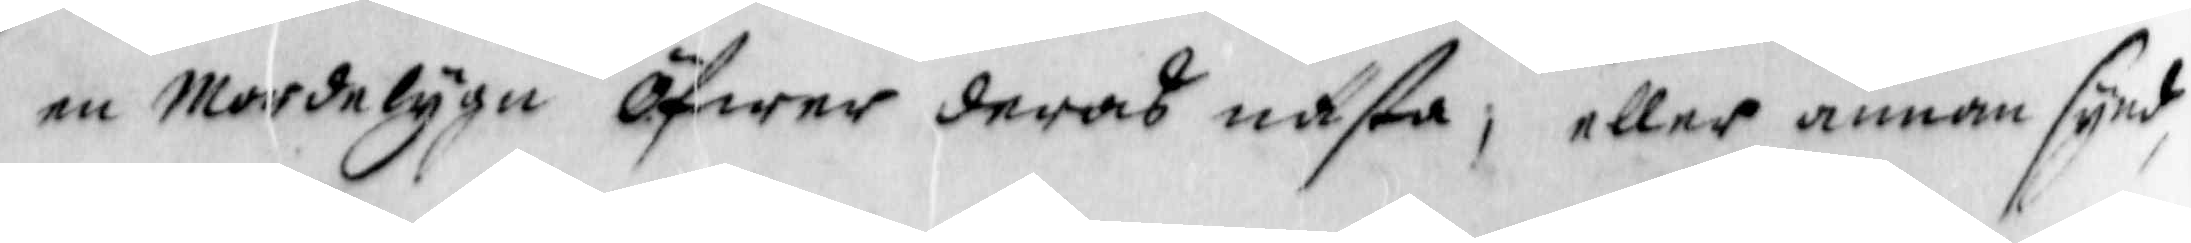en Mordelyge öfwer deras nästa, eller annan synd
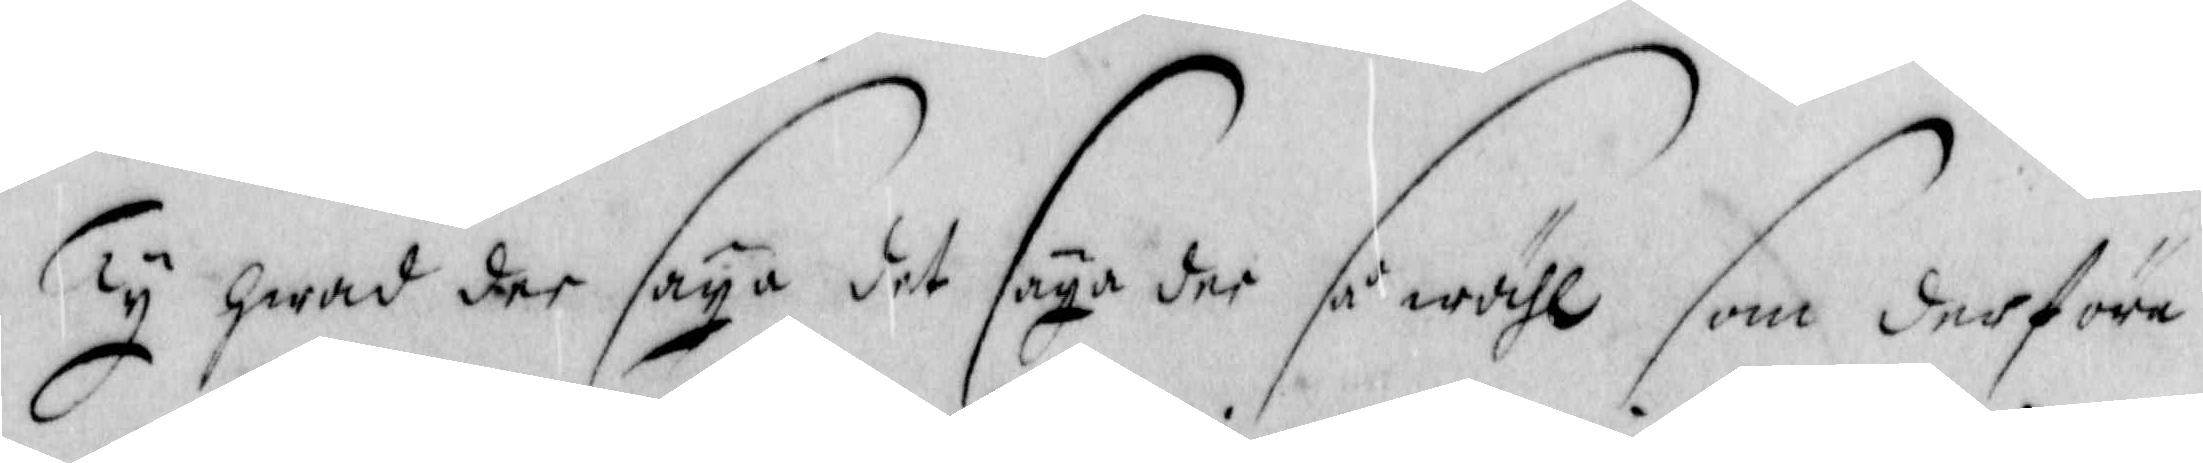Ty hwad der säya det säya dee så wähl som derföre
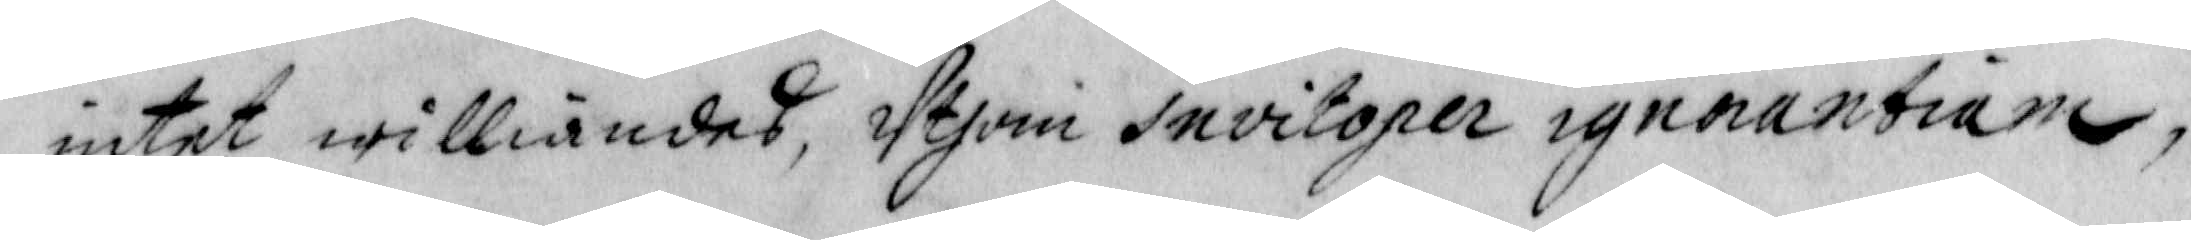intet williandes, Uthom invitoper ignnantione;
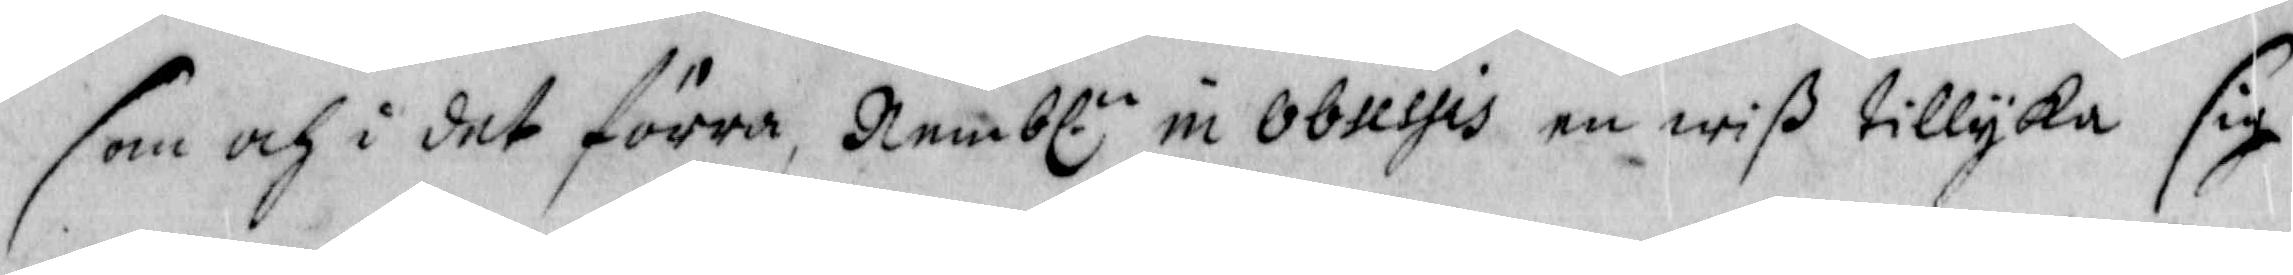som och i det förra Nembl.n in obussis en wiß tillyka sig
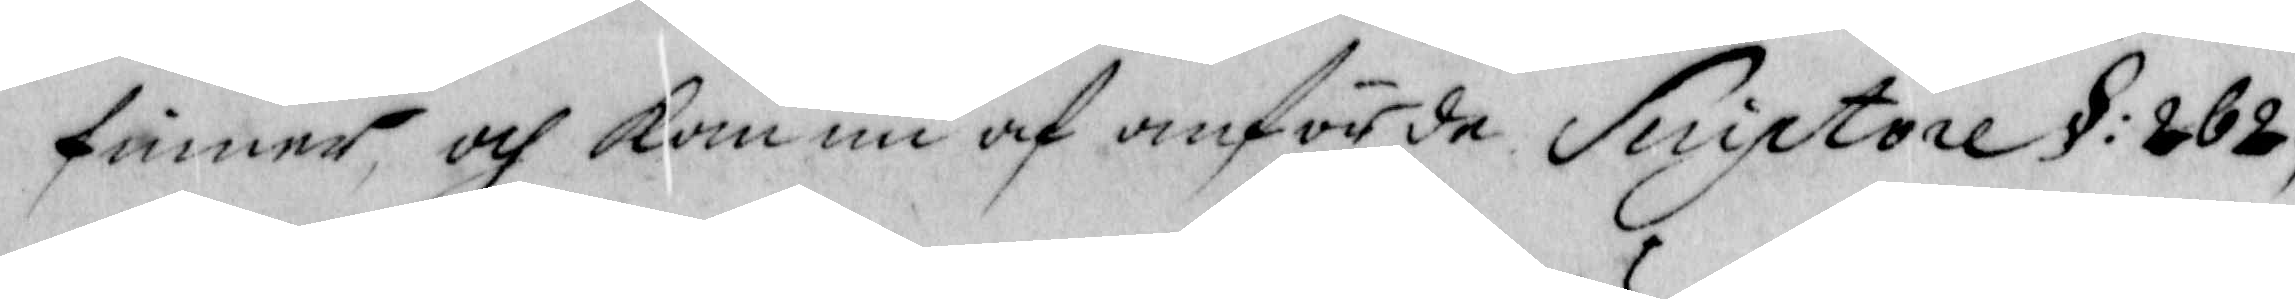finner och kom nu af anförde Suiptore §: 262
